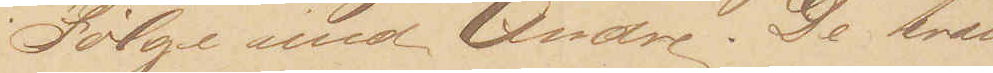i Følge med Andre. De træn¬
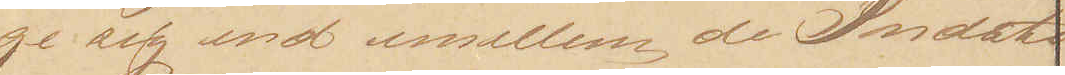ge sig ind imellem de Indsti¬
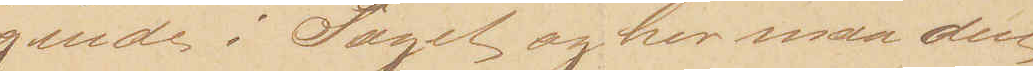gende i Toget og her maa den
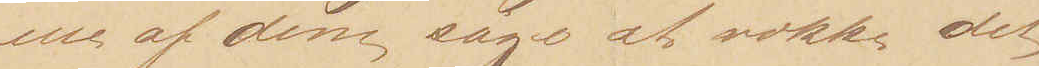ene af dem søge at vække det
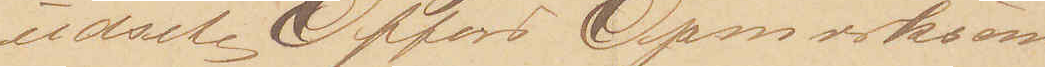udsete Offers Opmærksom¬
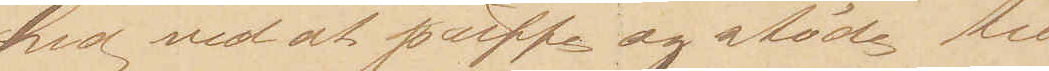hed ved at puffe og støde til
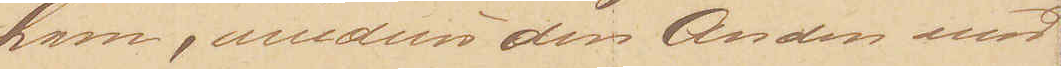ham, medens den Anden med
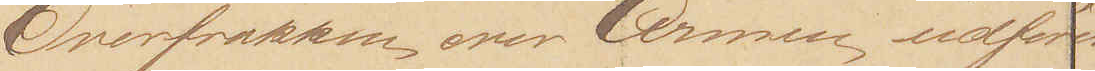Overfrakken over Armen udfører
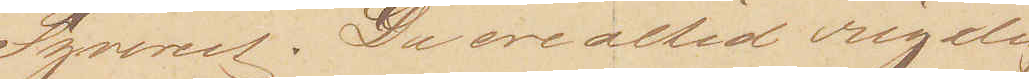Tyveriet. De ere altid rigelig
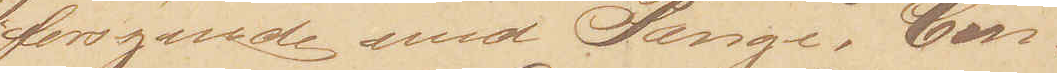forsynede med Penge, Con¬
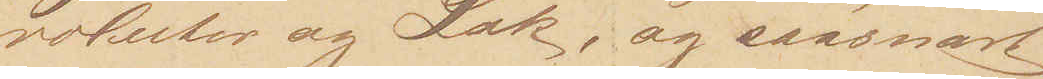voluter og Lak, og saasnart
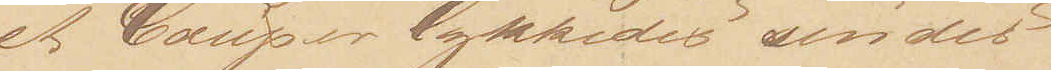et Coup er lykkedes sendes
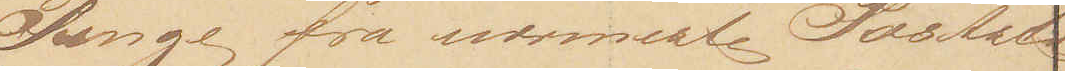Penge fra nærmeste Poststa¬
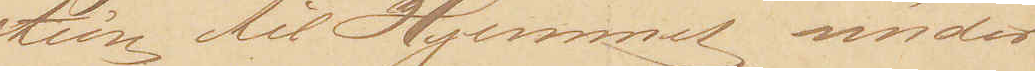tion til Hjemmet under 
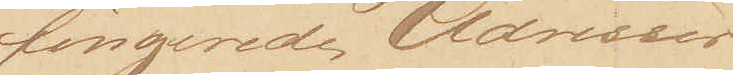fingerede Adresser.
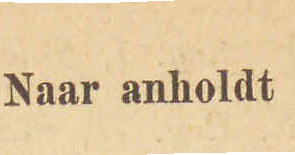Naar anholdt
